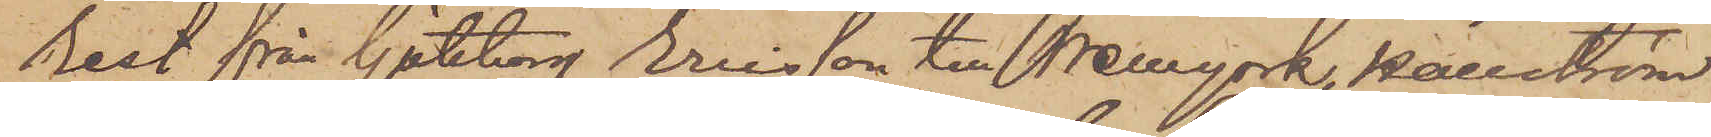rest från Göteborg Eriksson till Newyork, Hallström
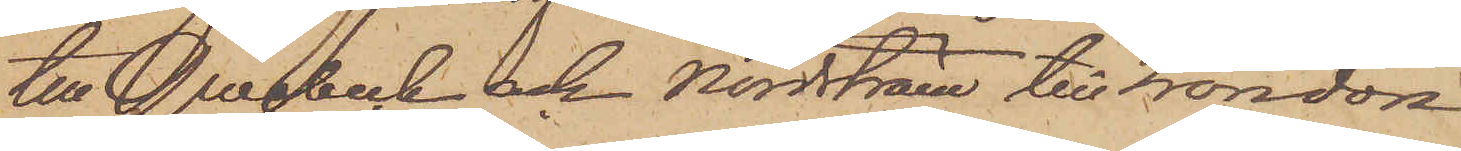till Queebeck och Nordström till London.
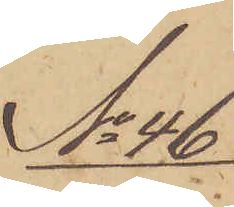No 46
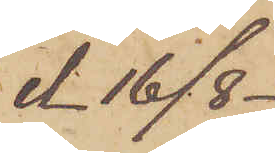d. 16/8.
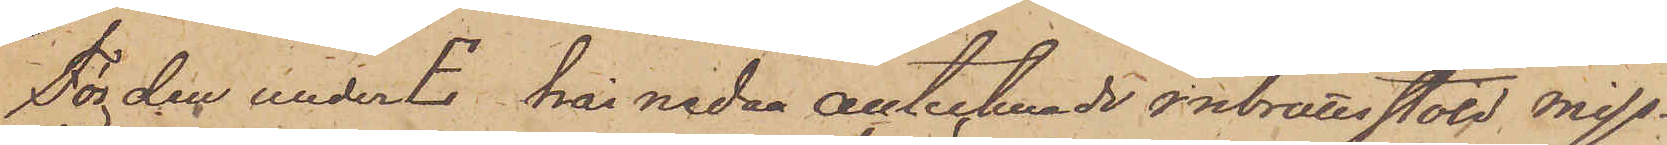För den under E här nedan antecknade inbrottsstöld miss¬
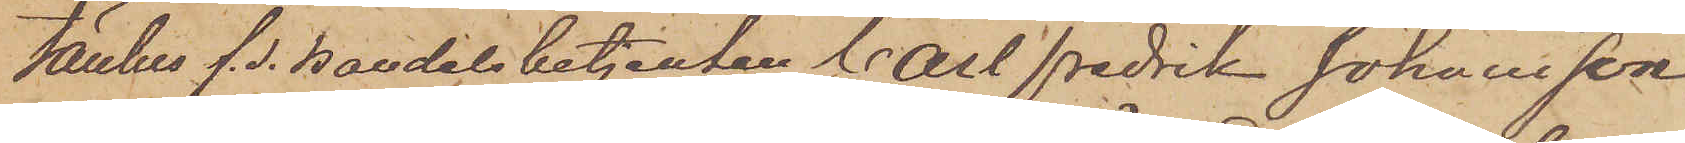tänkes f. d. handelsbetjenten Carl Fredrik Johansson
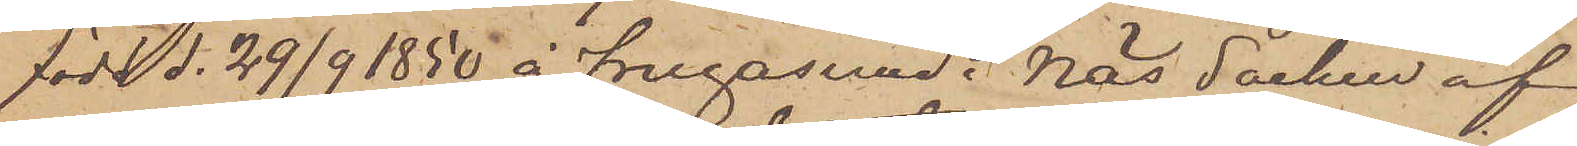född d. 29/9 50 å Frugasund i Näs Socken af
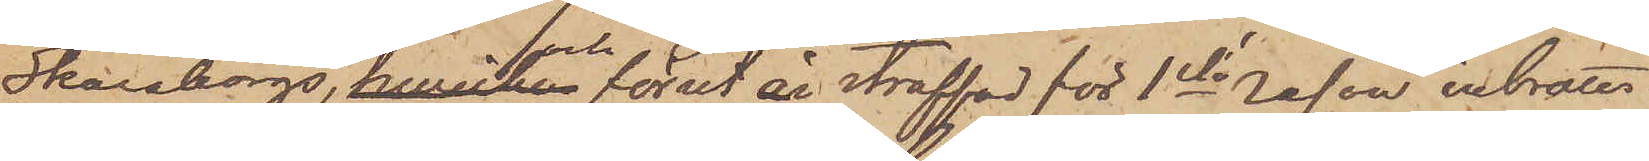Skaraborgs, hwilken och förut är straffad för 1sta resan inbrotts¬
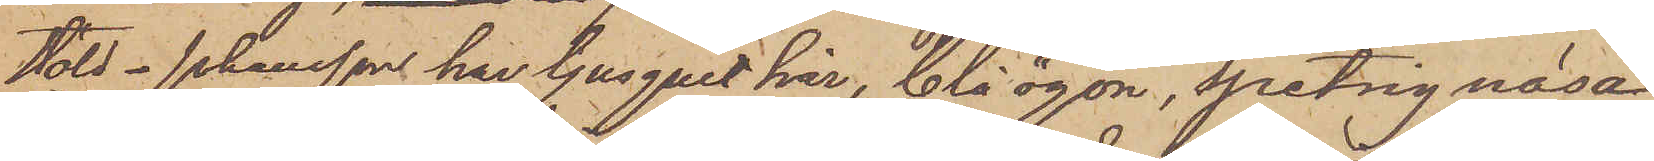stöld. Johansson har ljusgult hår, blå ögon, spetsig näsa
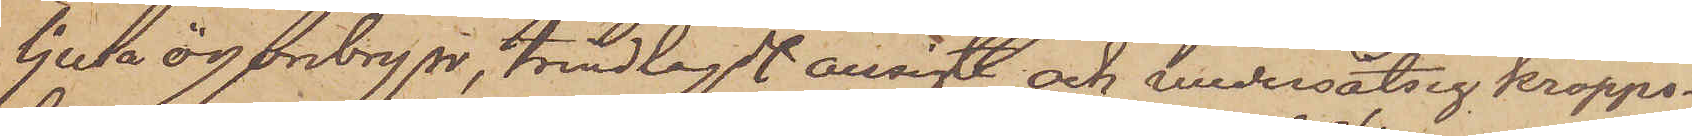ljusa ögonbryn, trindlagdt ansigte och undersätsig kropps¬
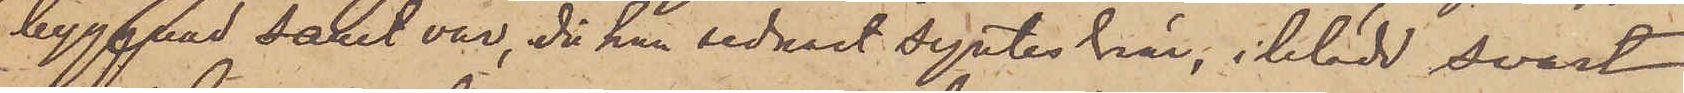byggnad samt var, då han sednast syntes här, iklädd svart
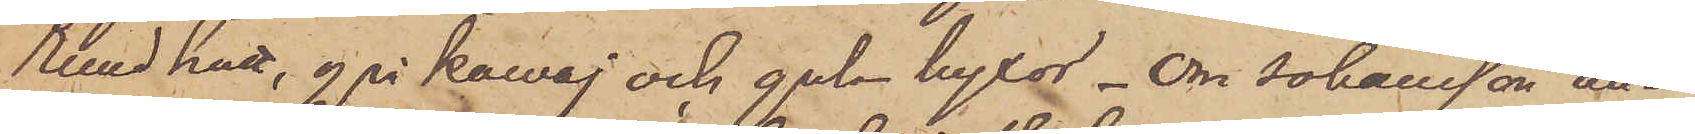rund hatt, grå  kavaj och gula byxor. Om Johansson an¬
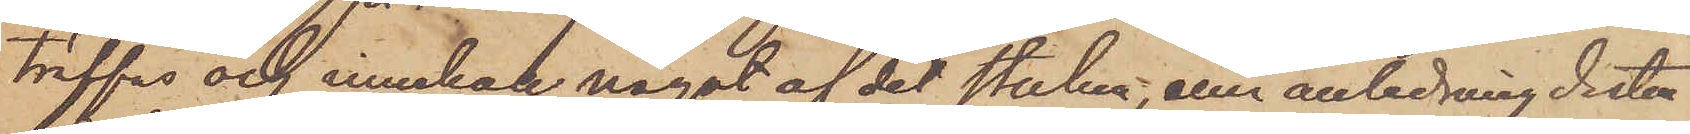träffas och innehar något af det stulna, eller anledning dertill
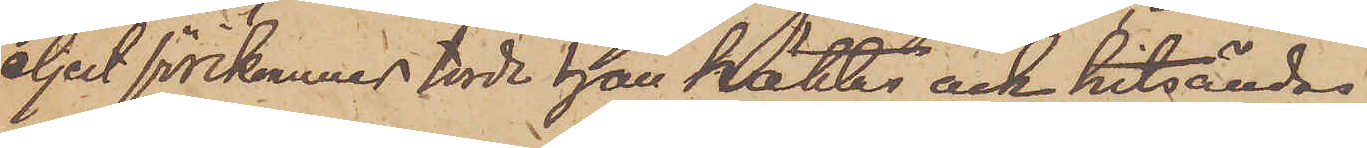eljest förekommer torde han häktas och hitsändas.
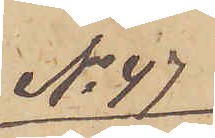No 47
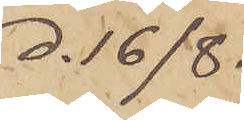d. 16/8.
